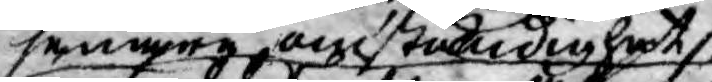senare omständighet
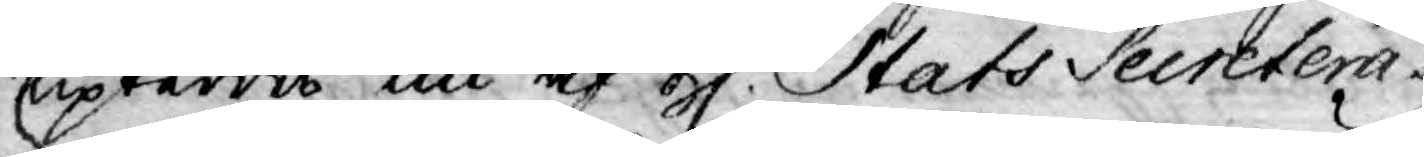upteddes nu af H. Stats Secretera¬
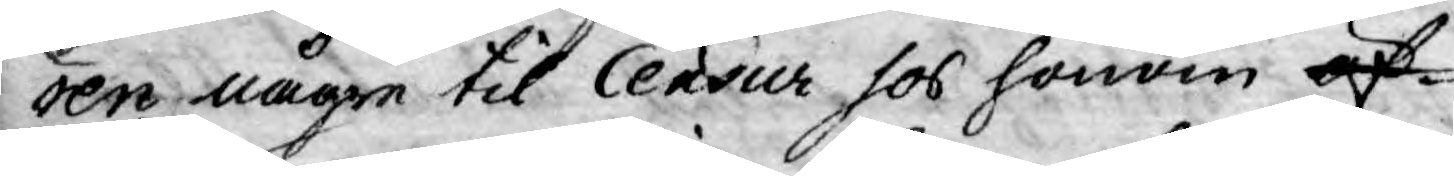ren någre til Censur hos honom öf¬
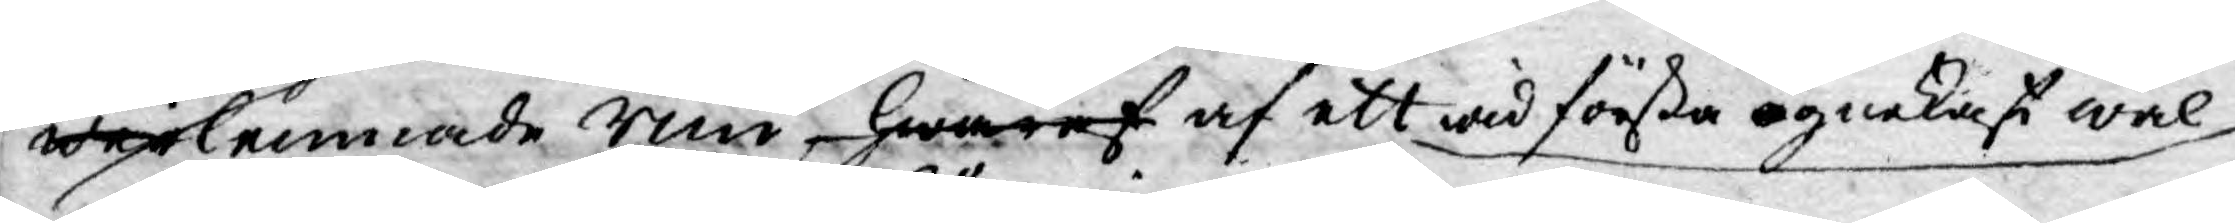wer inlemnade rim, hwaraf af ett wid första ögnekast wäl
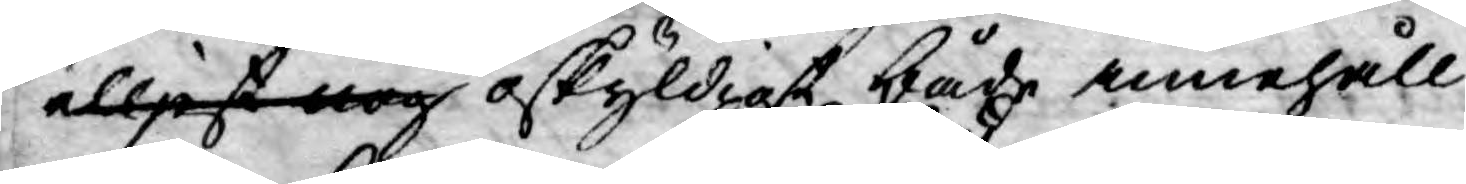elljest nog oskyldigt både innehåll
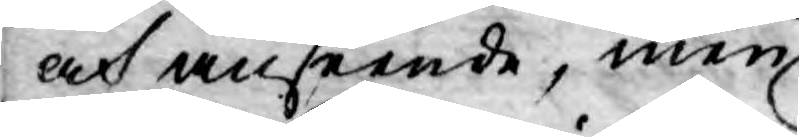och anseende, men
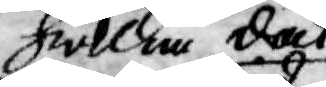hwilka dock
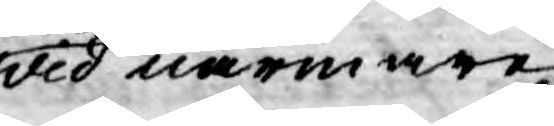wid närmare
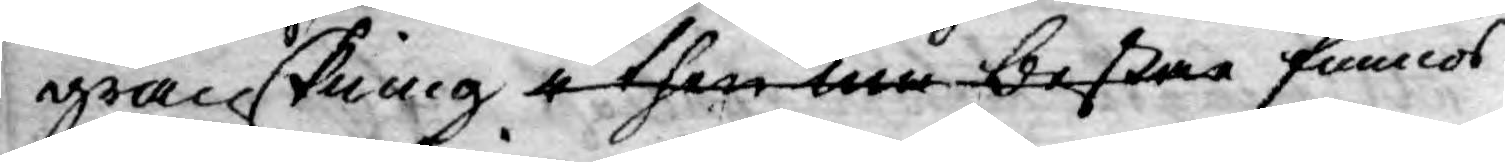granskning i then må bestar funnos
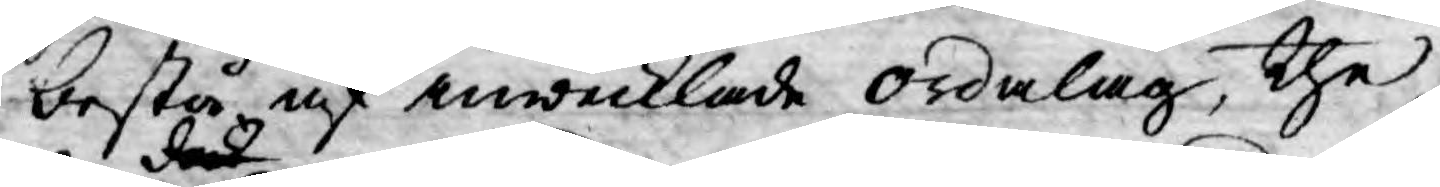bestå af inwecklade ordalag, the
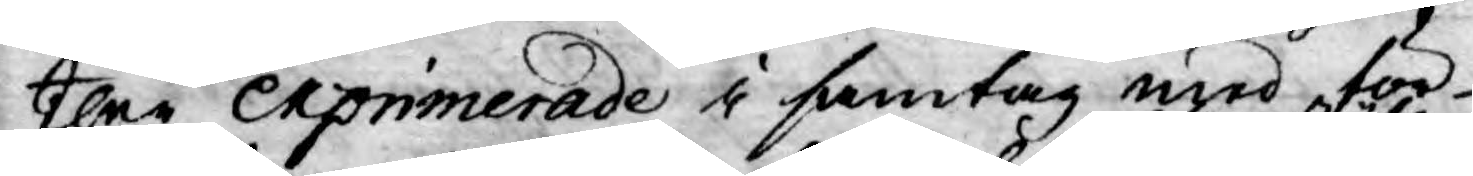ther exprimerade i samtag med för¬
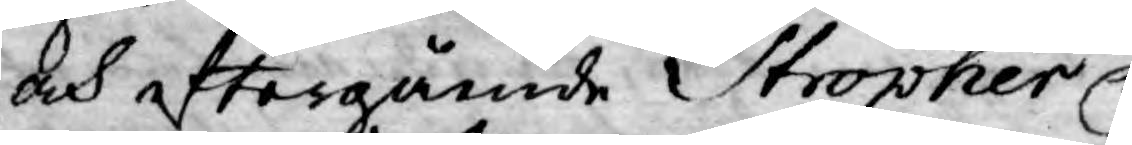och eftergående Stropher
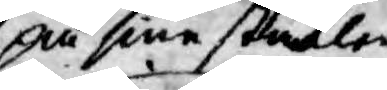på sine ställen
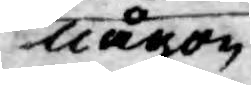ej någon
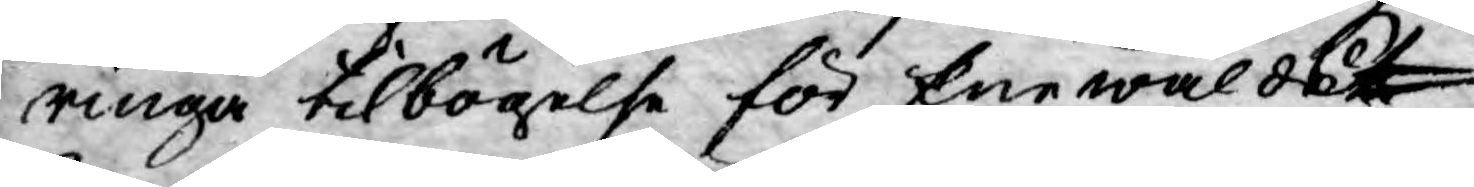ringa tilbögelse för Enewålds
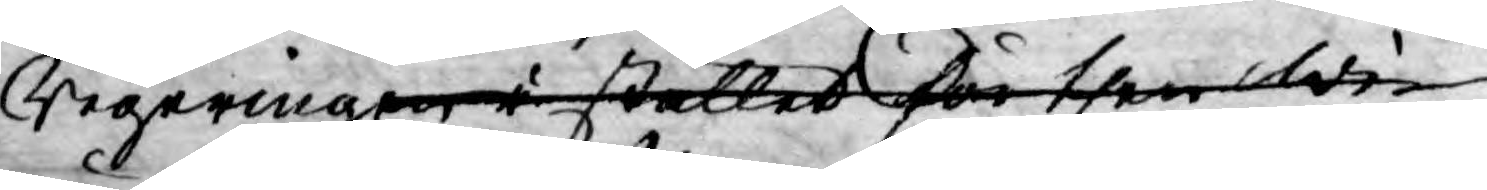Regeringen i stället för then Wi
